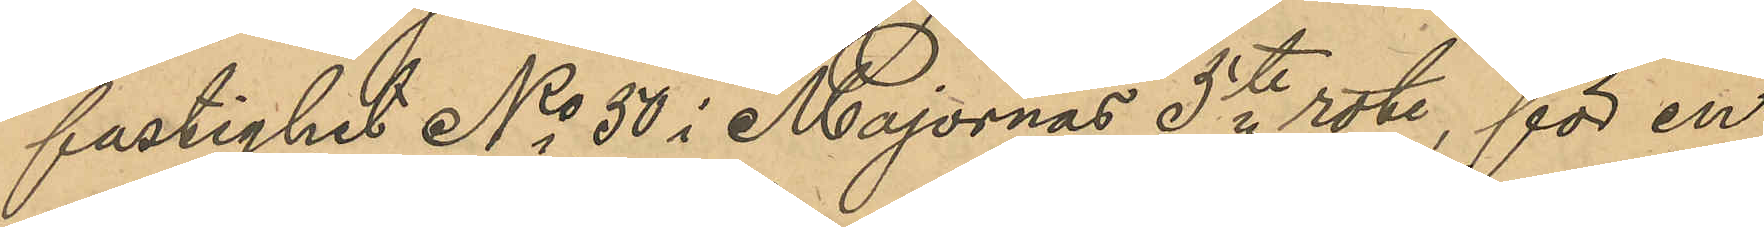fastighet No 50 i Majornas 5te rote, för en
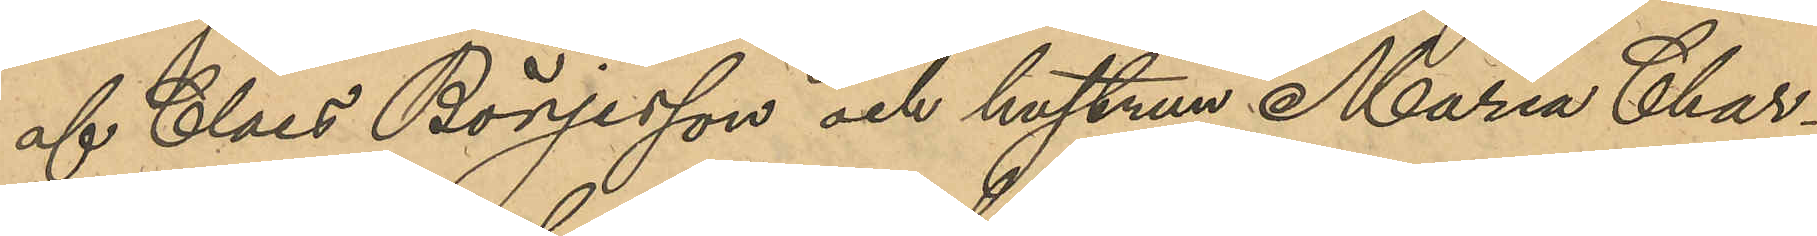af Claes Börjesson och hustrun Maria Char¬
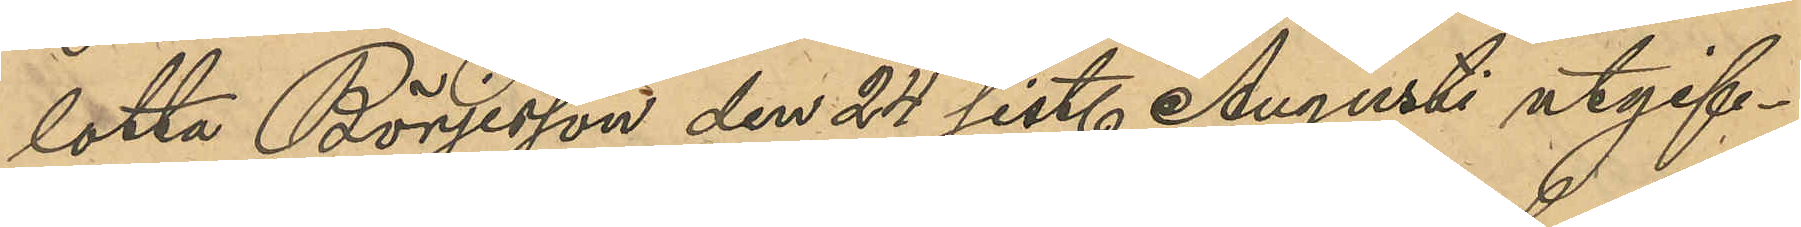lotta Börjesson den 24 sist. Augusti utgif¬
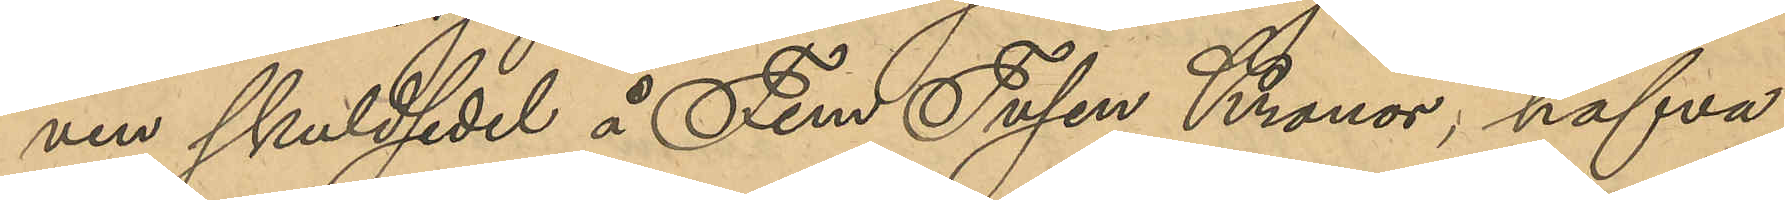ven skuldsedel å Fem Tusen Kronor, hafva
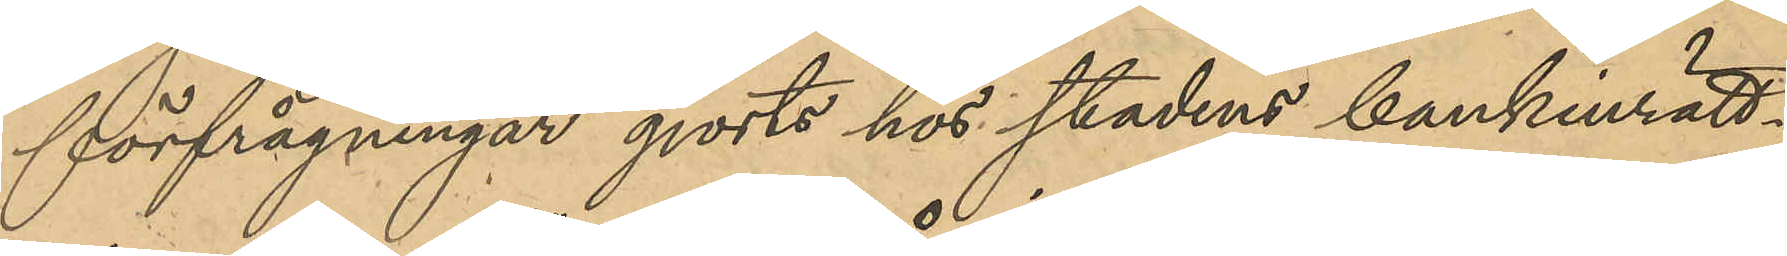förfrågningar gjorts hos stadens bankinrätt¬
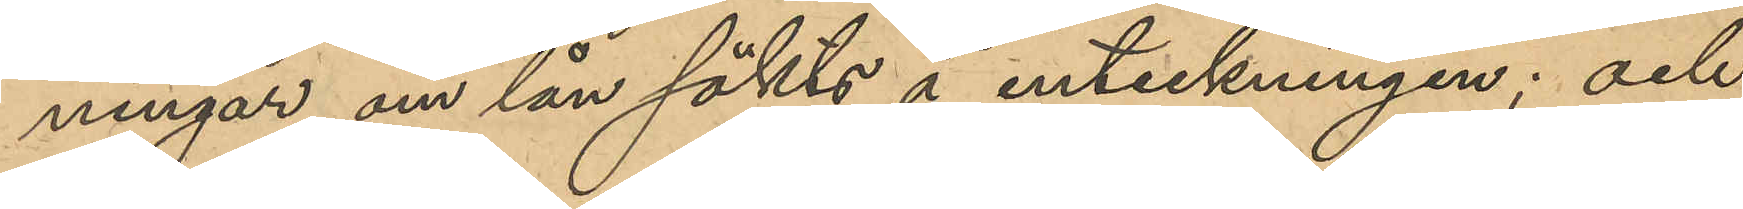ningar om lån sökts å inteckningen; och
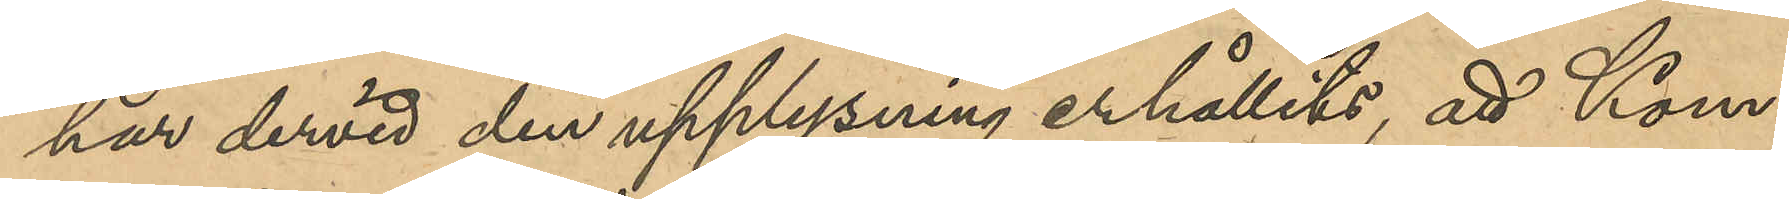har dervid den upplysning erhållits, att Kom¬
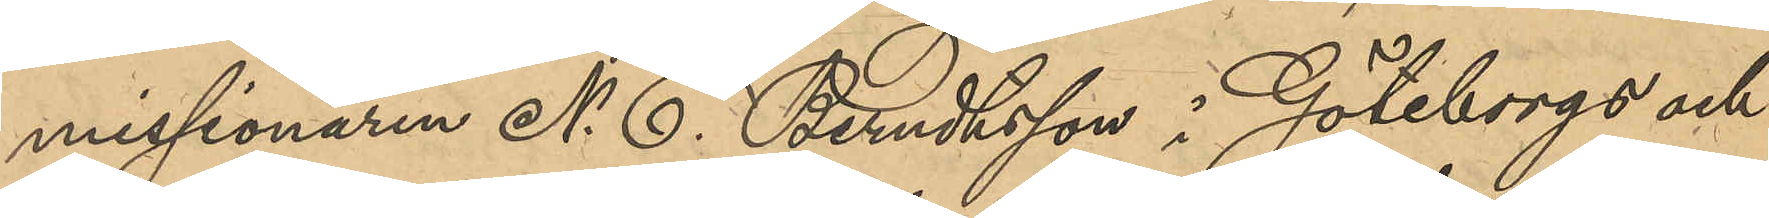missionären N. E. Berndtsson i Göteborgs och
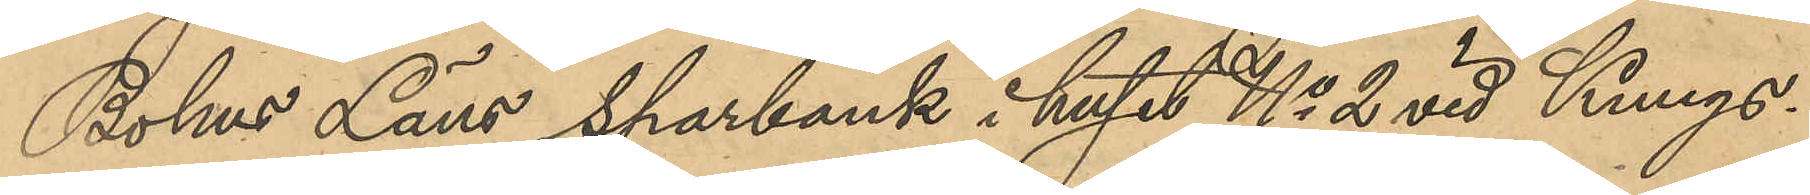Bohus läns sparbank i huset No 2 vid Kungs¬
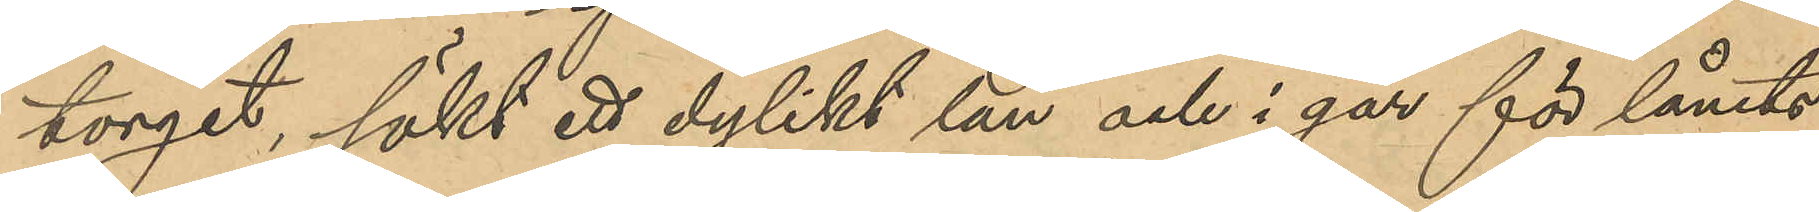torget, sökt ett dylikt lån och i går för lånets
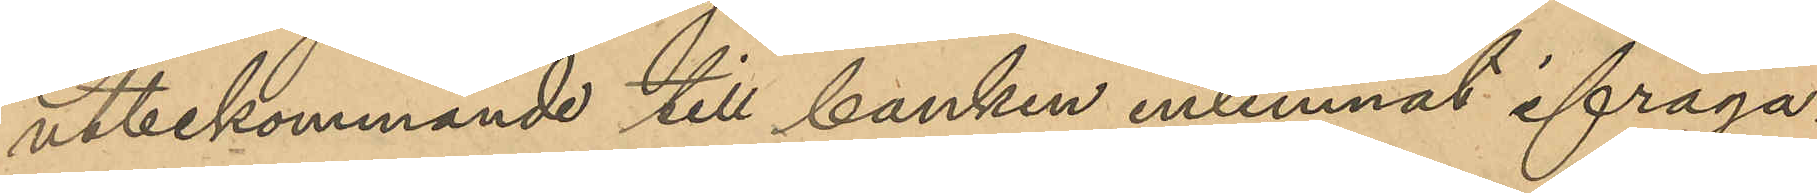utbekommande till banken inlemnat ifråga¬
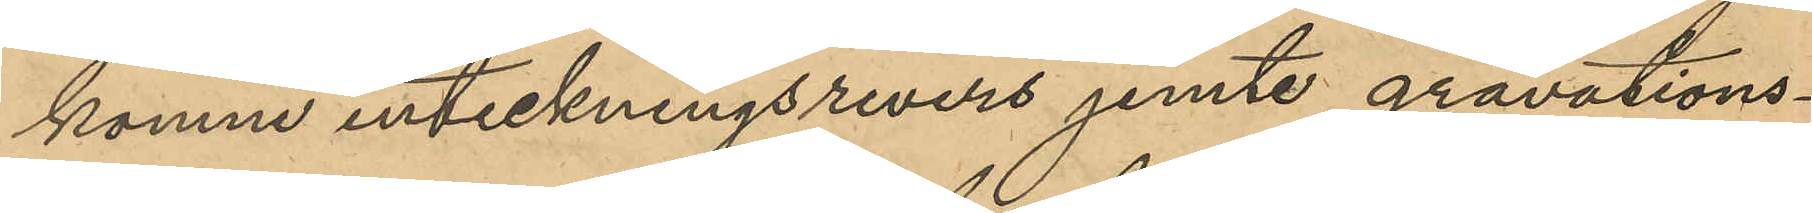komne inteckningsrevers jemte gravations¬
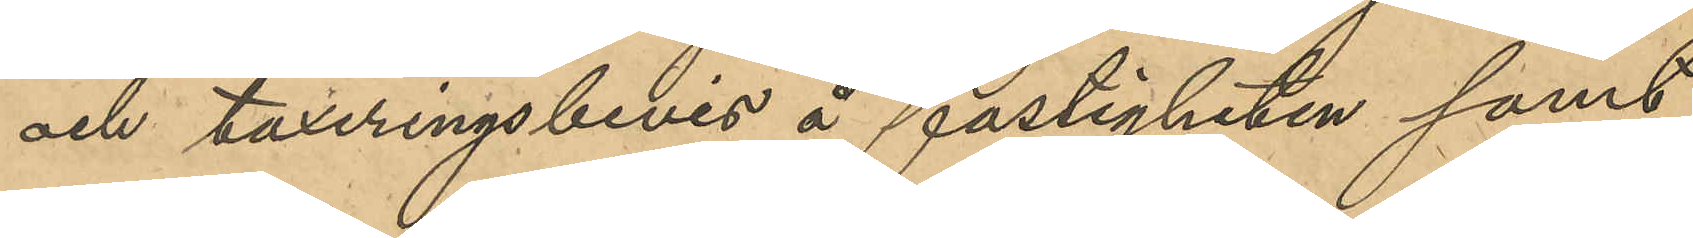och taxeringsbevis å fastigheten samt
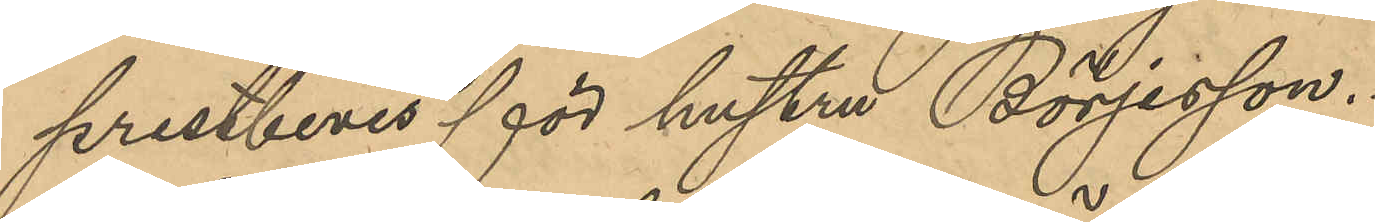prestbevis för hustrun Börjesson.
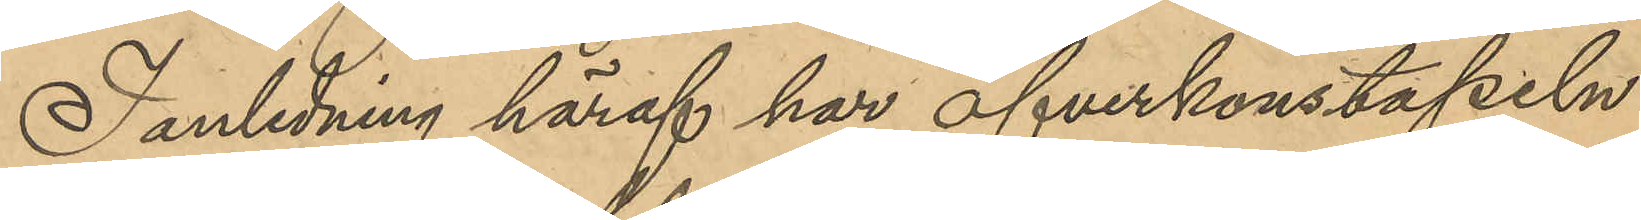I anledning häraf har Öfverkonstapeln
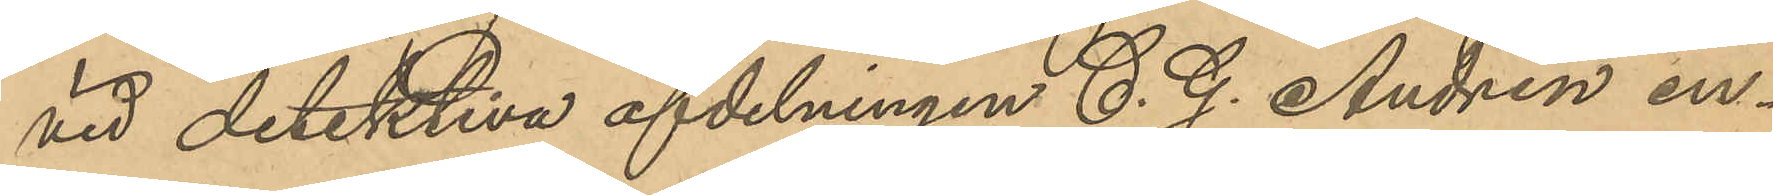vid detektiva afdelningen C. G. Andrén en¬
